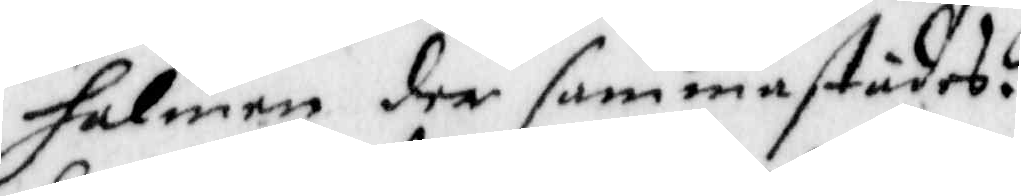halmen der sammastädes.
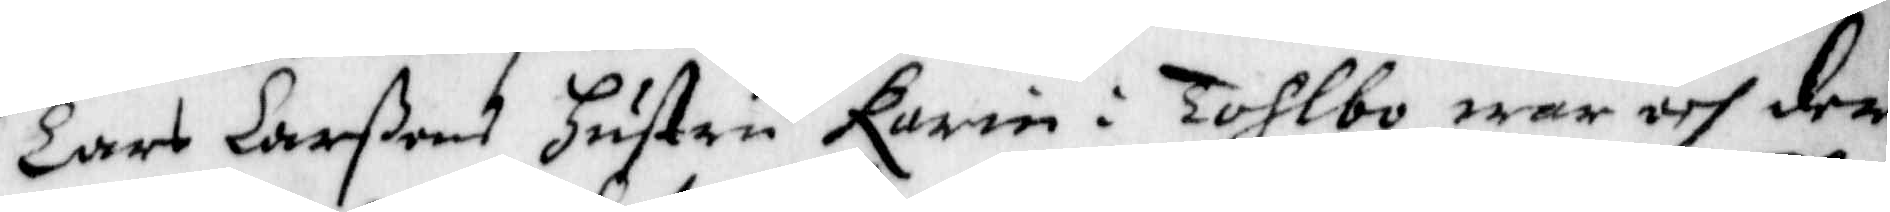Lars larßons hustru Karin i Tohlbo war och der¬
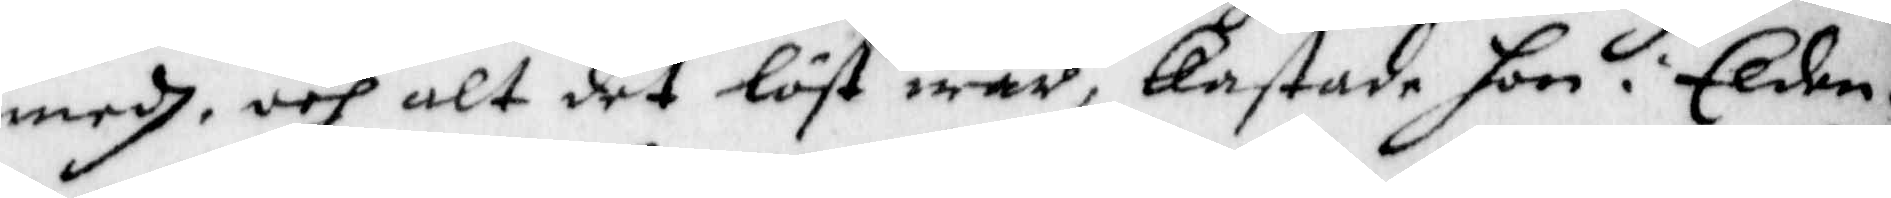medh, och alt det löst war, kastade hon i Elden.
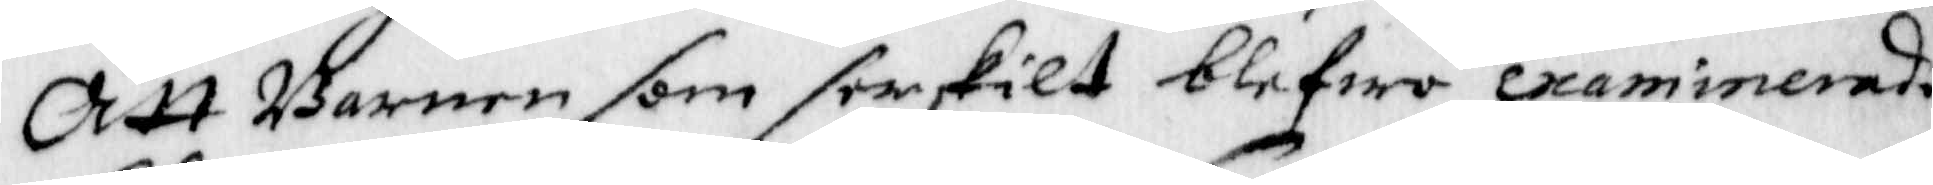Att Barnen som serskilt blefwo examinerade
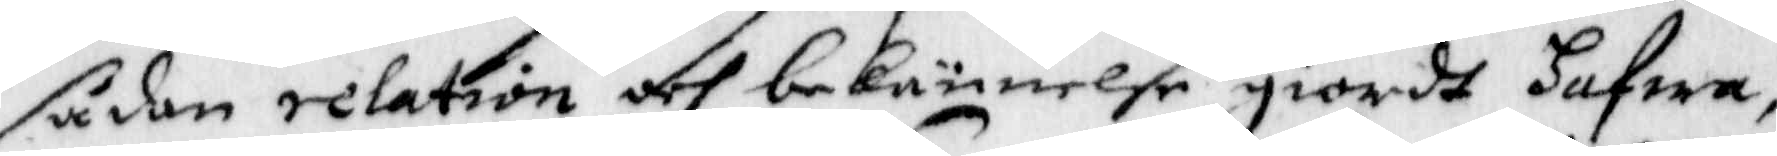sådan relation och bekännelse giorde hafwa,
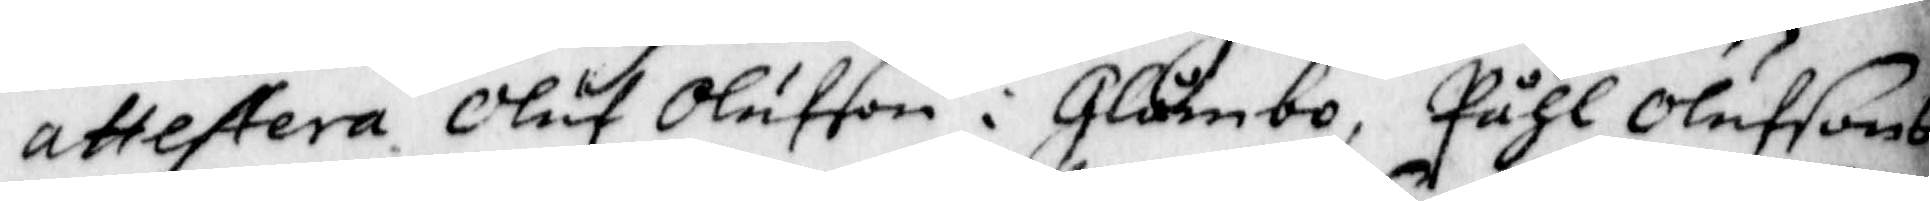attestera Oluf Oluffson i Glämbo, Påhl Olufsons
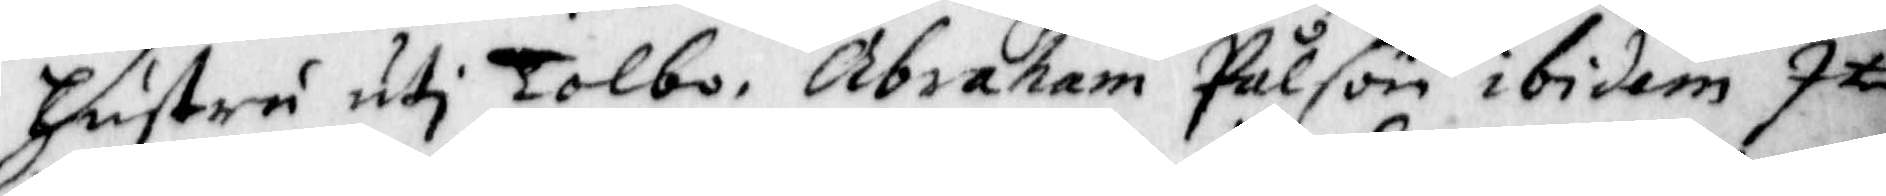hustru uti Tolbo, Abraham Pålson ibidem Item
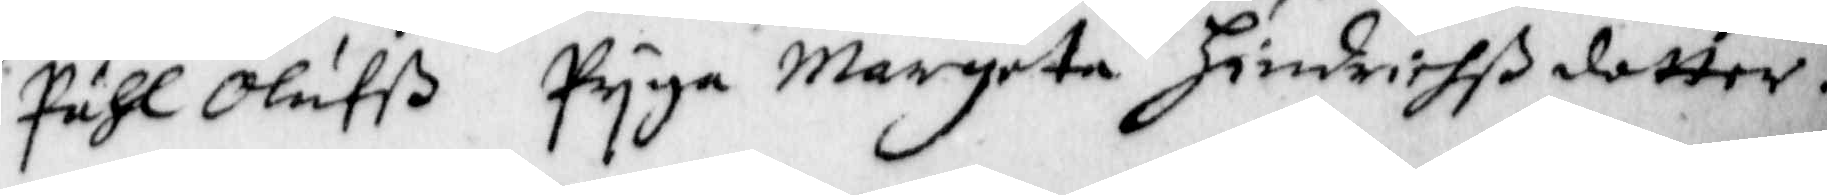Påhl Olufß Pyga Margeta Hindrichßdotter.
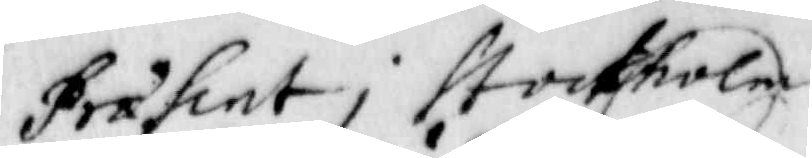Præsint i Stockholm
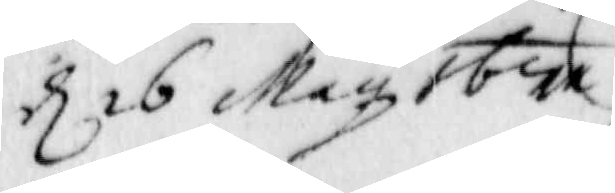d 16 May 1671
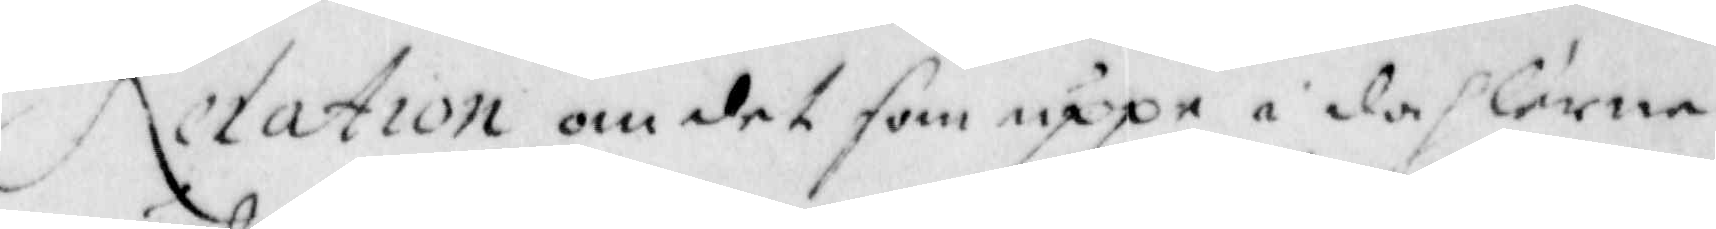Relation om det som uppå i dahlarne
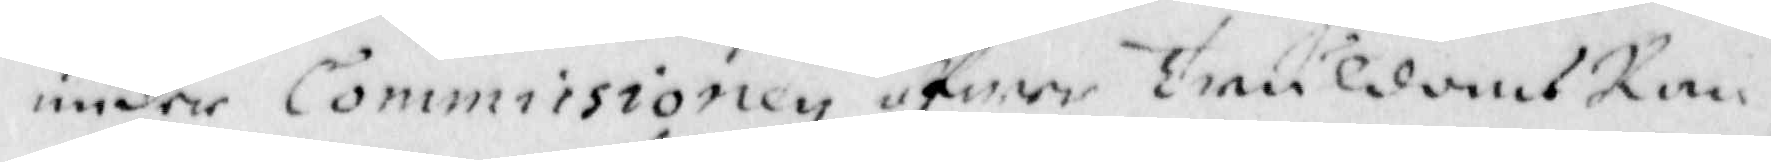under Commissionen öfwer TruldomsRan¬
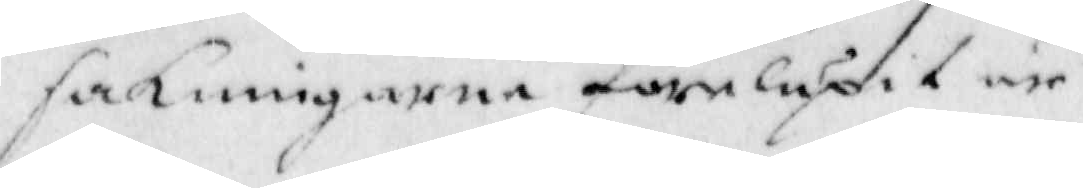sakningarna förelupit är.
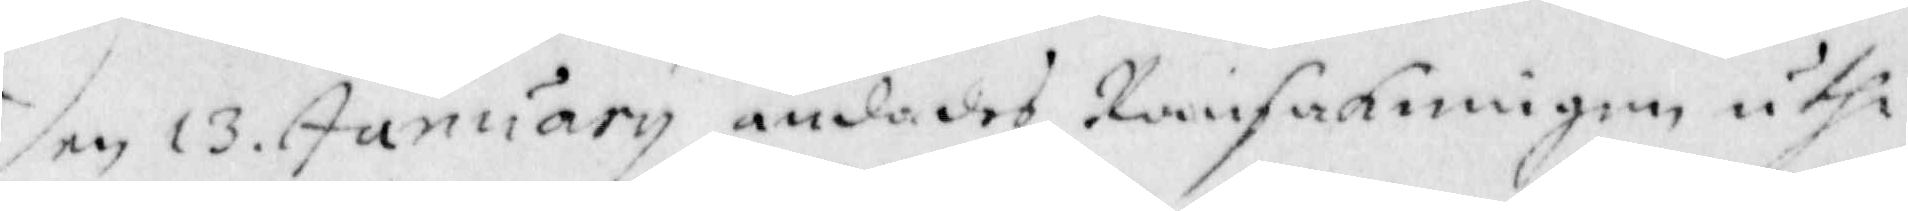den 13 January ändades Ransakningen uthi
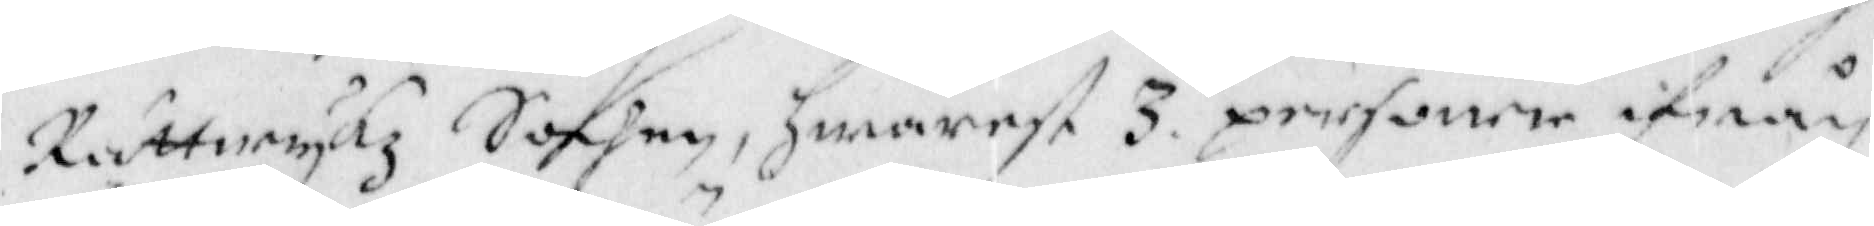Rättwykz Sochen, hwarest 3 personer ifrån
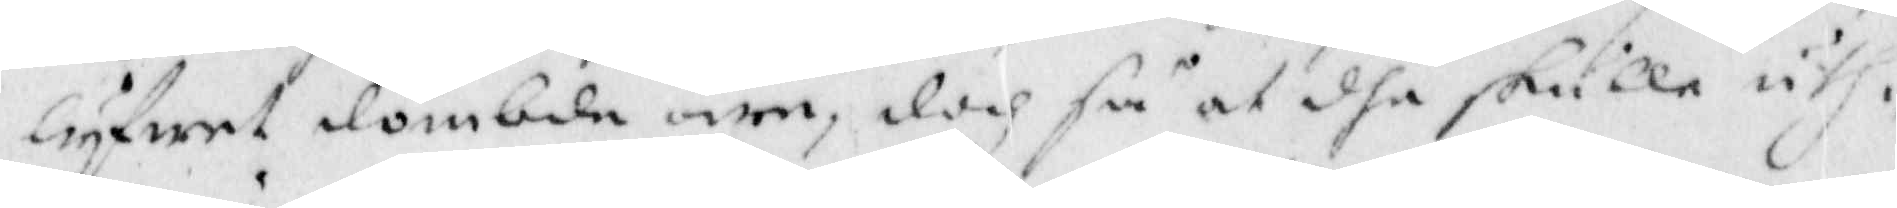lyfwet dömbde äre, doch så at dhe skulle uth¬
